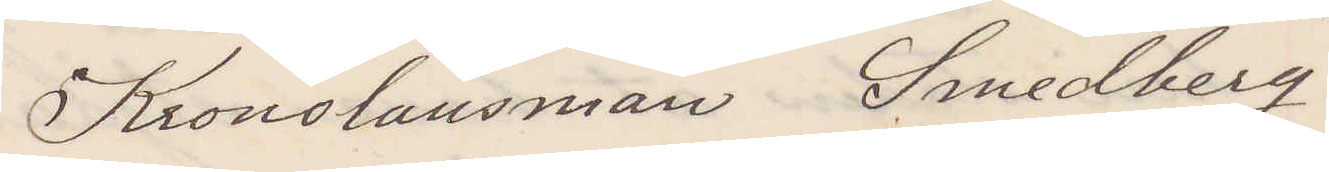Kronolänsman Smedberg
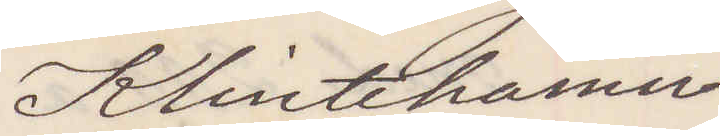Klintehamn
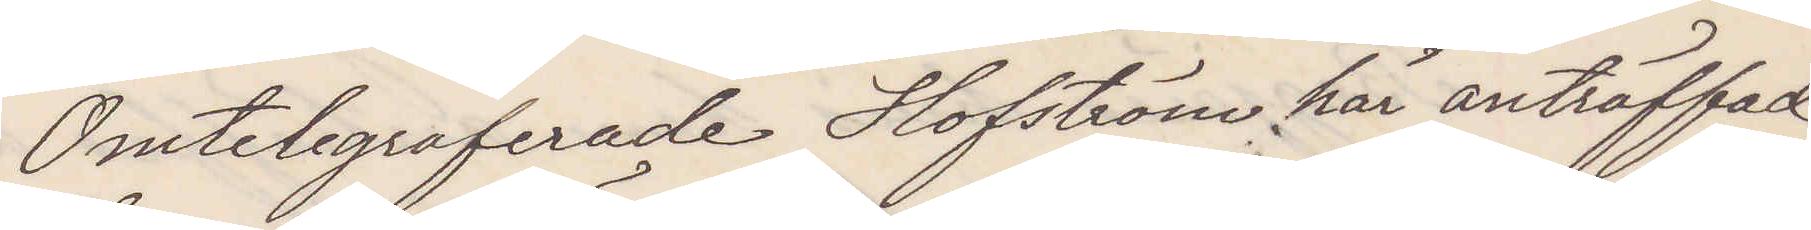Omtelegraferade Hofström här anträffad,
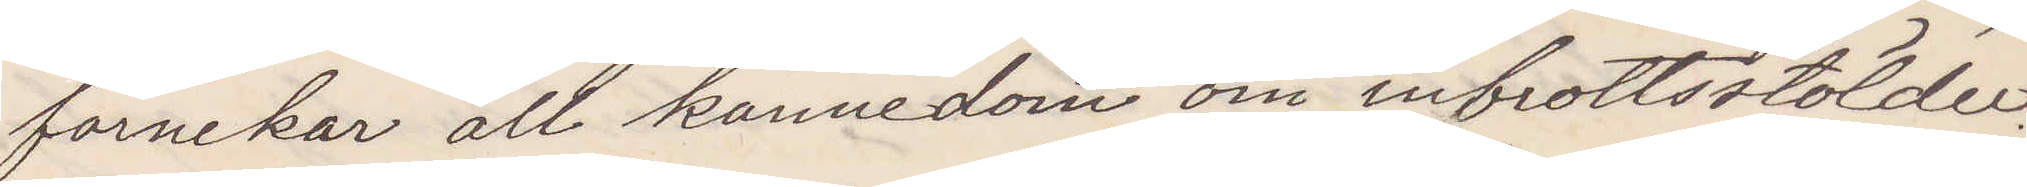förnekar all kännedom om inbrottsstölder.
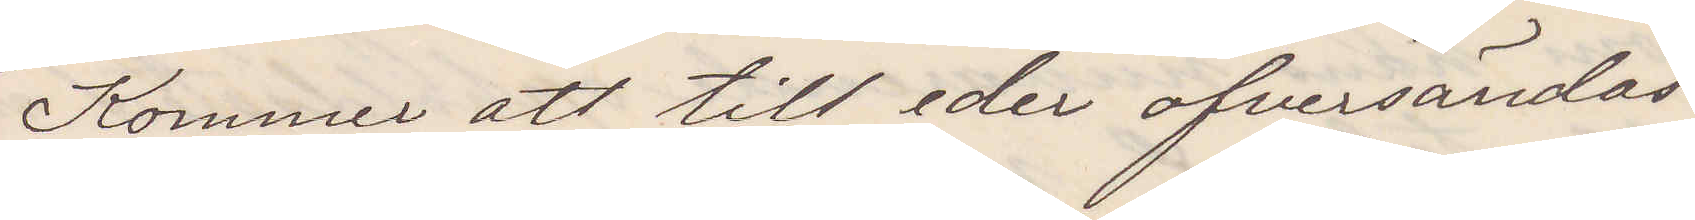Kommer att till eder öfversändas.
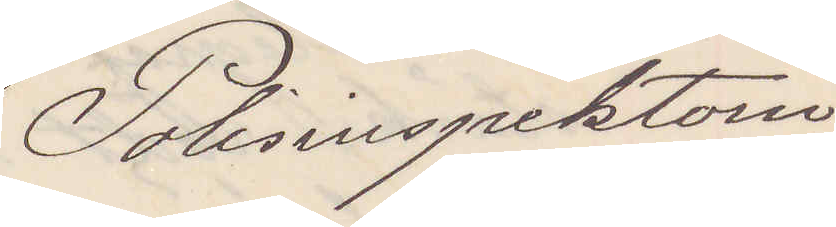Polisinspektorn
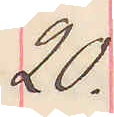20.
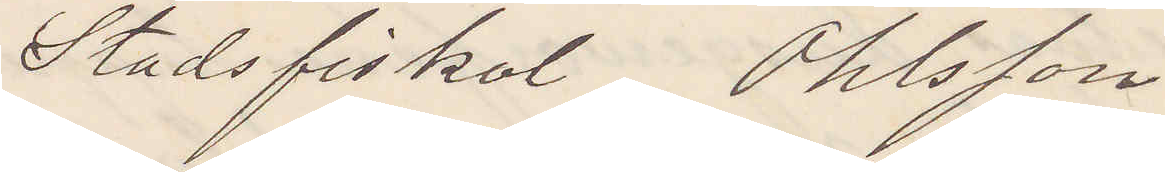Stadsfiskal Ohlsson
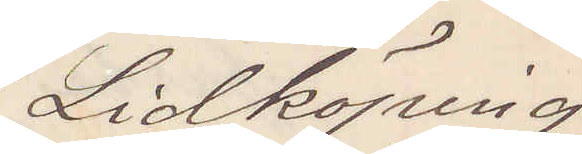Lidköping
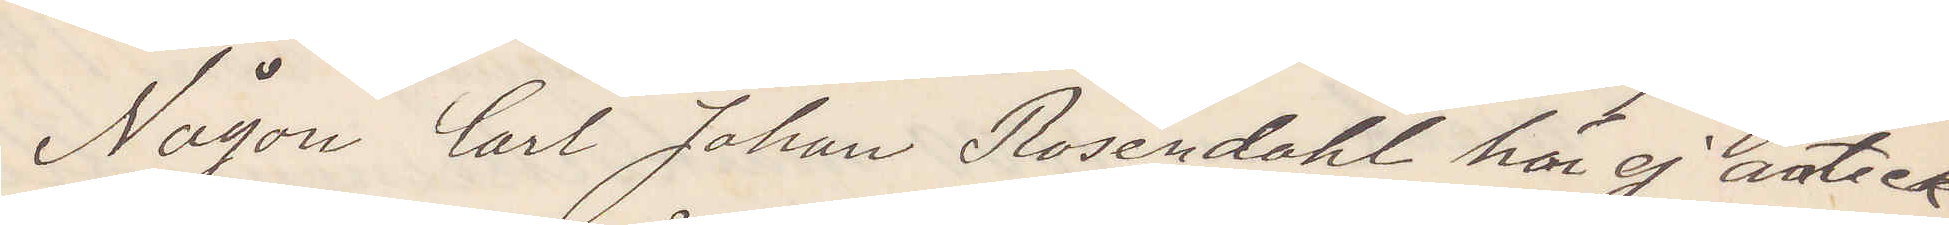Någon Carl Johan Rosendahl här ej anteck¬
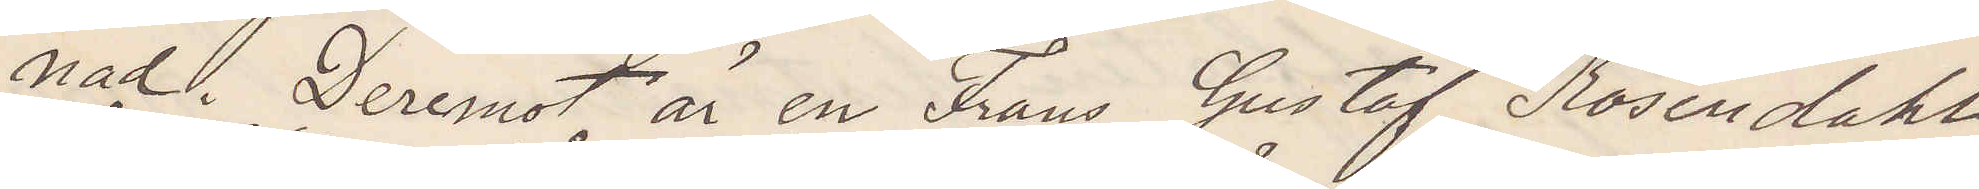nad Deremot är en Frans Gustaf Rosendahl,
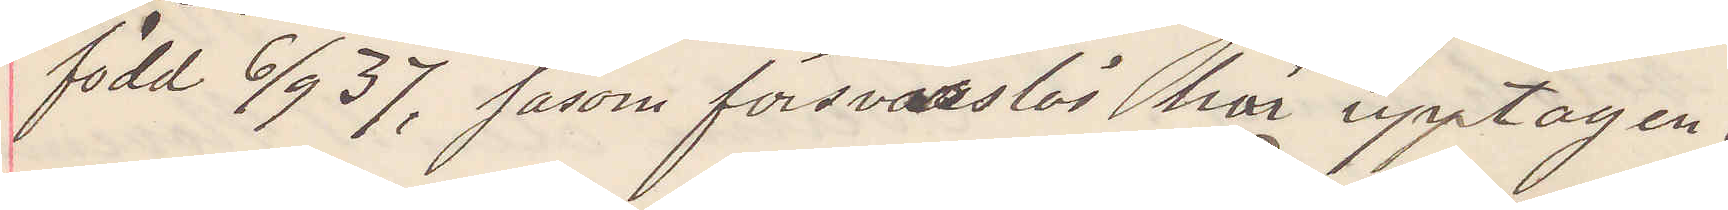född 6/9 37 såsom försvarslös här upptagen.
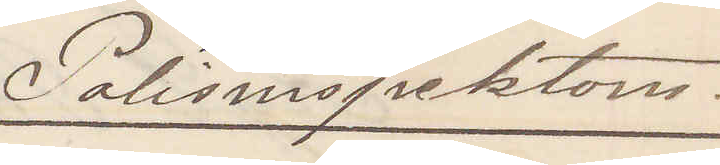Polisinspektorn.
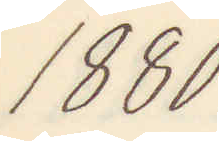1880
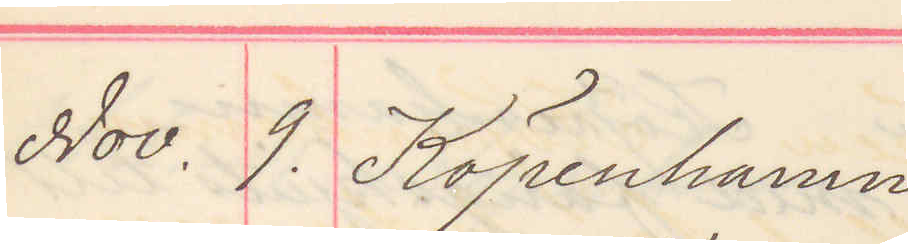Nov. 9. Köpenhamn
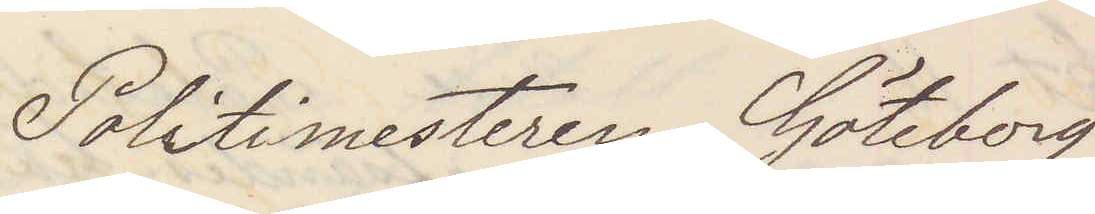Politimesteren Göteborg
